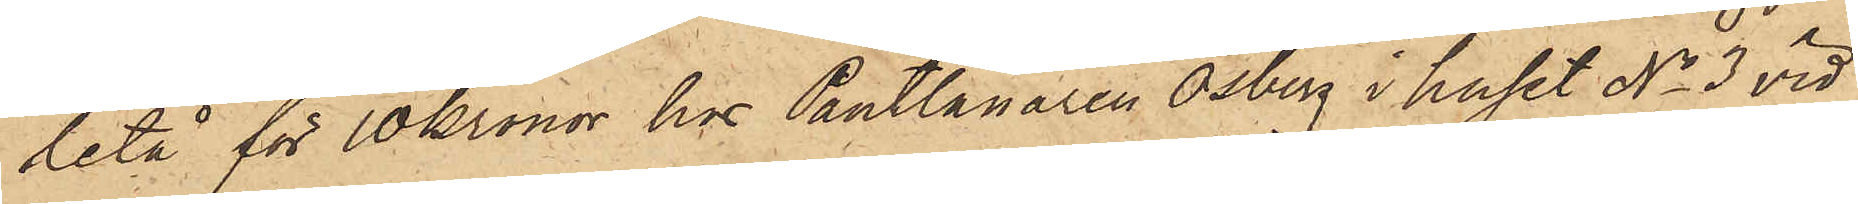letå för 10 kronor hos Pantlånaren Osberg i huset No 3 vid
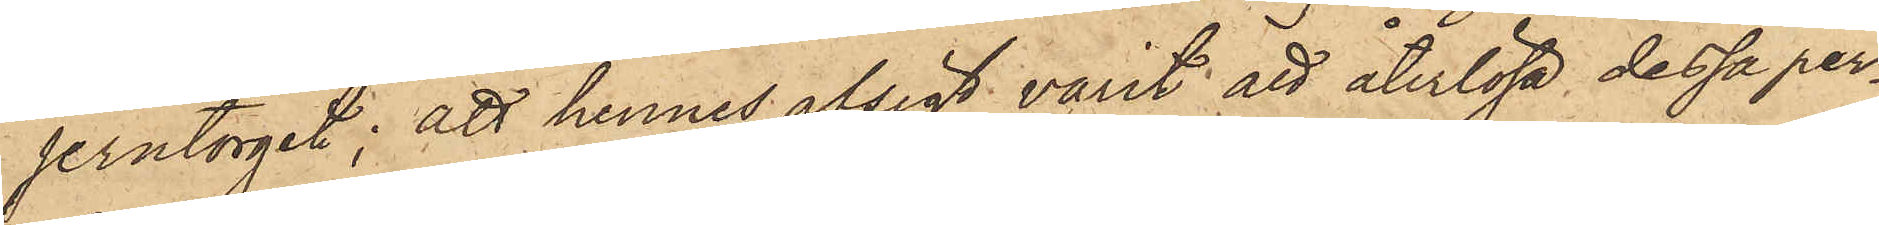Jerntorget; att hennes afsigt varit att återlösa dessa per¬
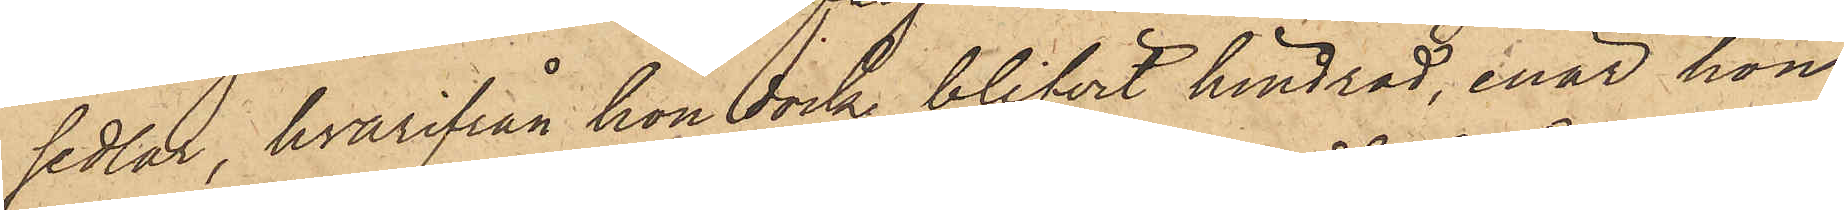sedlar, hvarifrån hon dock blifvit hindrad, enär hon,
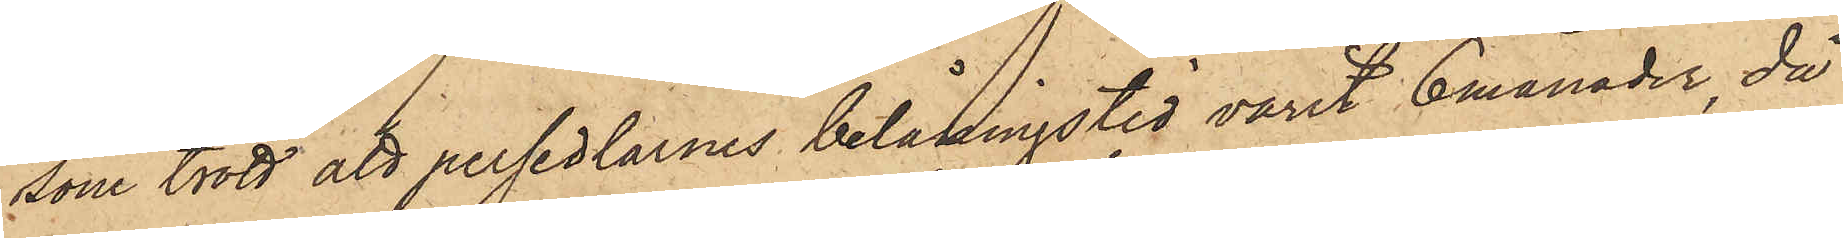som trott att persedlarnes belåningstid varit 6 månader, då
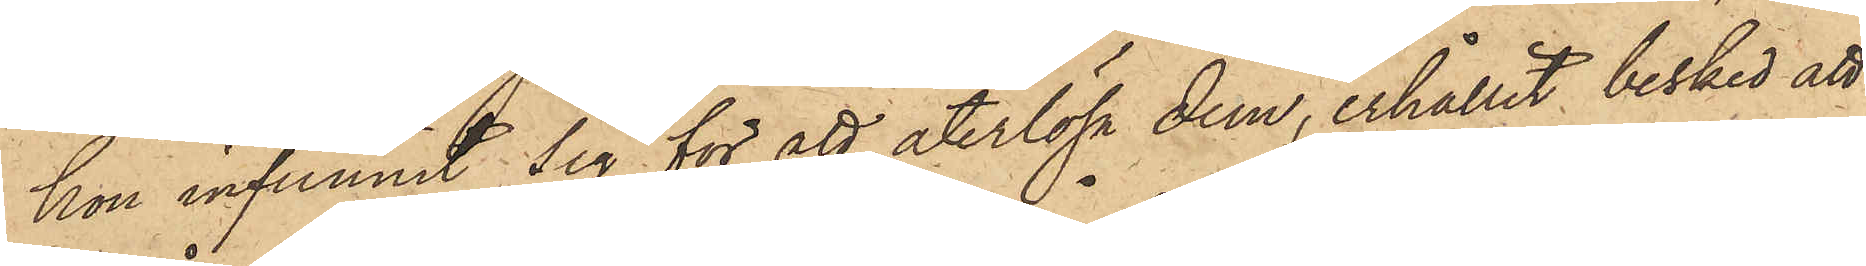hon infunnit sig för att återlösa dem, erhållit besked att
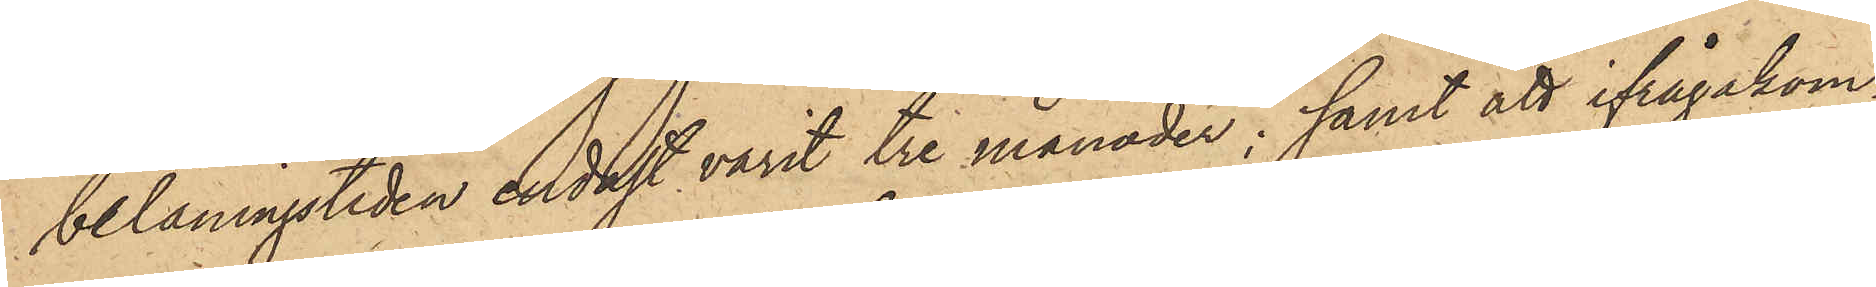belåningstiden endast varit tre månader; samt att ifrågakom¬
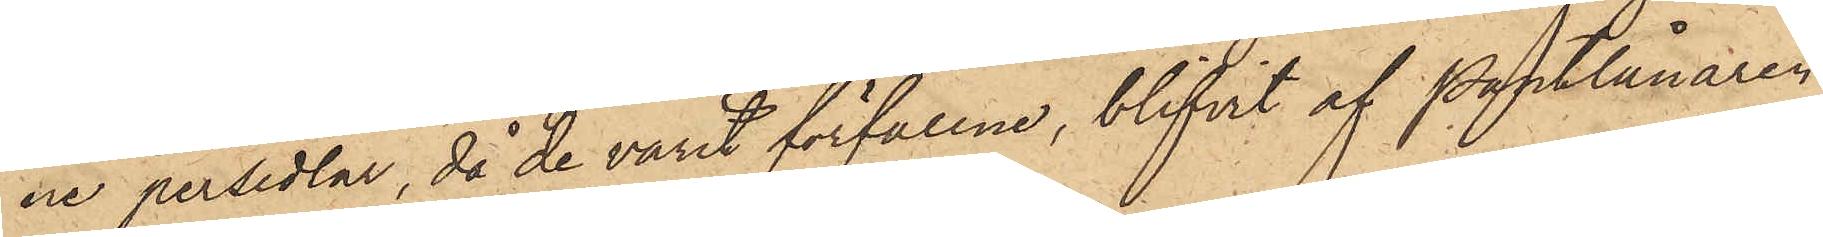ne persedlar, då de varit förfallne, blifvit af Pantlånaren
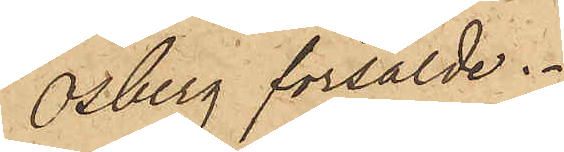Osberg försålde.
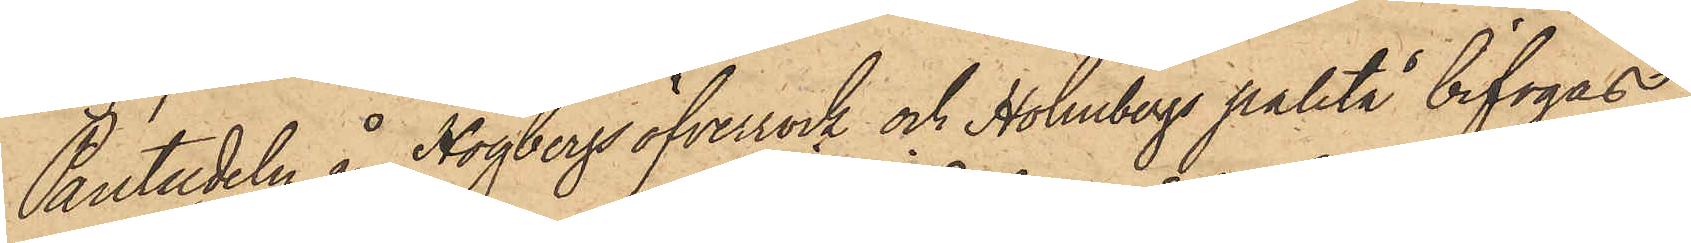Pantsedeln å Högbergs öfverrock och Holmbergs paletå bifogas.
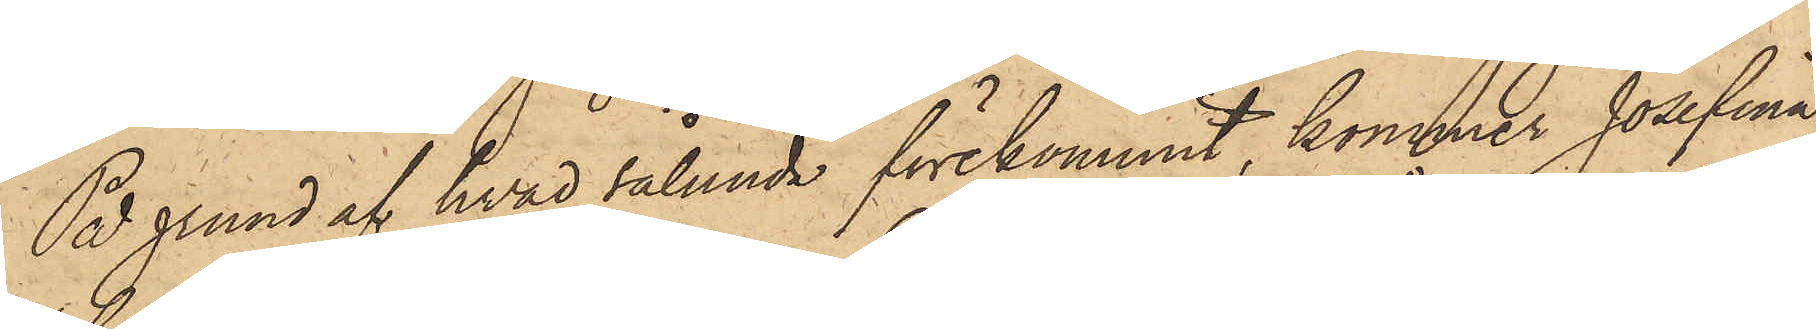På grund af hvad sålunda förekommit, kommer Josefina
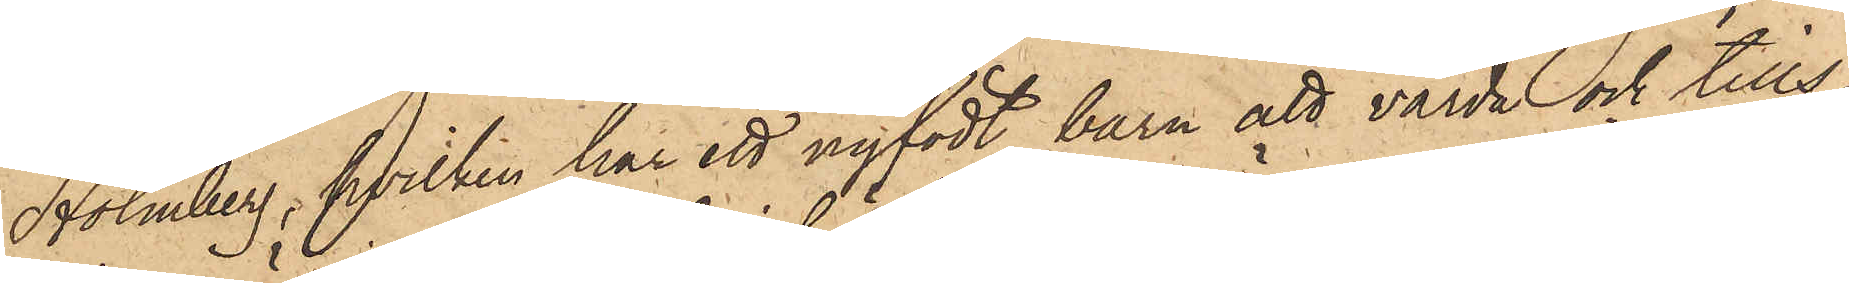Holmberg, hvilken har ett nyfödt barn att vårda och tills
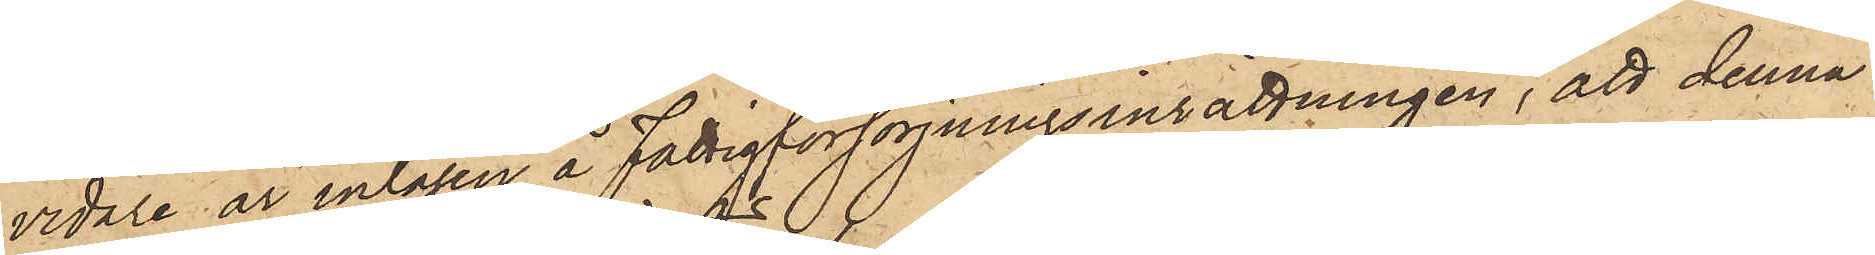vidare är intagen å Fattigförsörjningsinrättningen, att denna
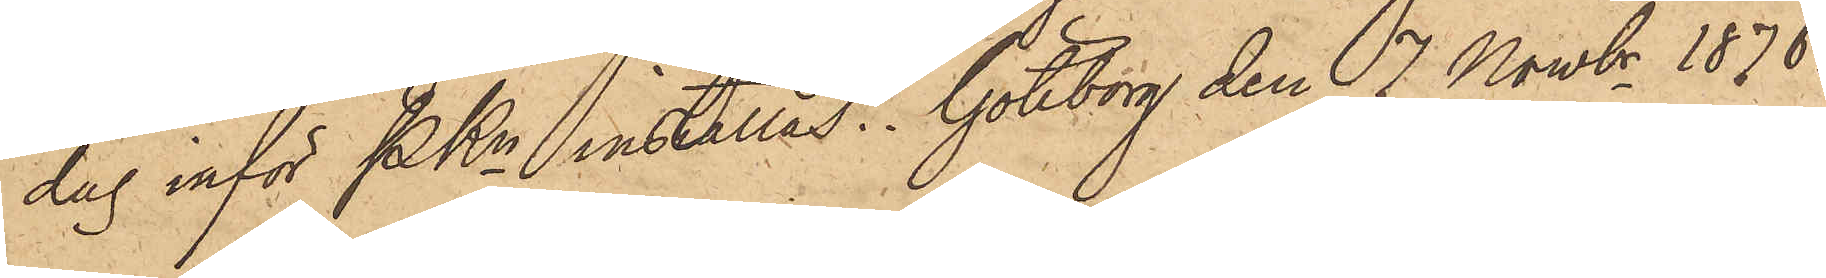dag inför PKn inställas. Göteborg den 7 Novbr. 1876.
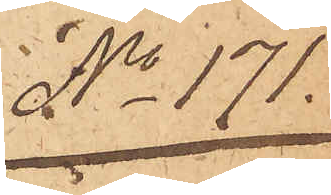No 171.
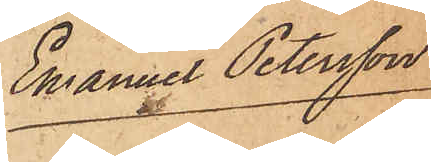Emanuel Petersson
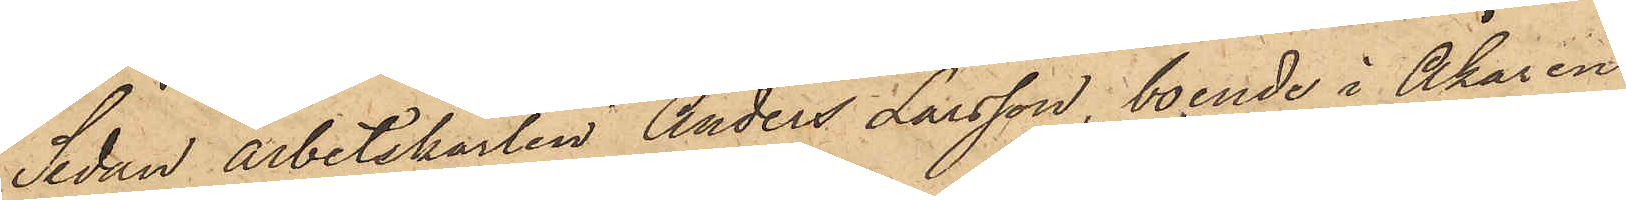Sedan arbetskarlen Anders Larsson, boende i Åkaren
